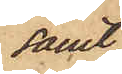samt
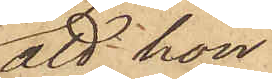att hon
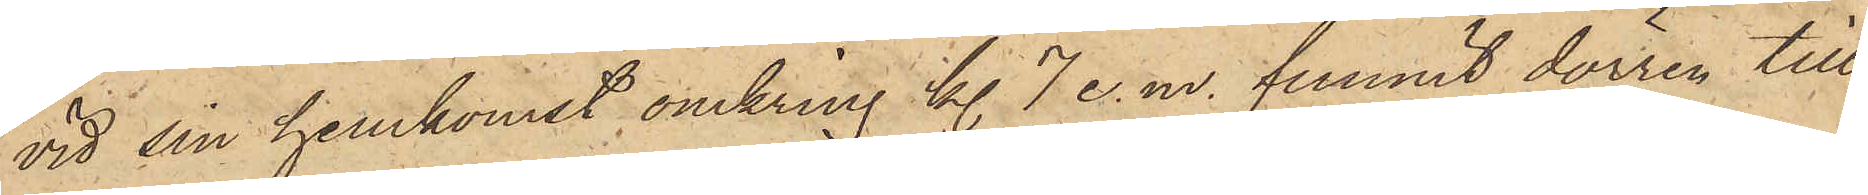vid sin hemkomst omkring kl. 7 e. m. funnit dörren till
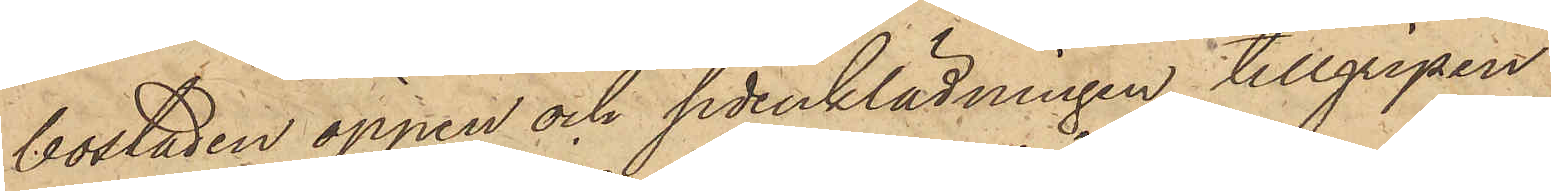bostaden öppen och sidenklädningen tillgripen.
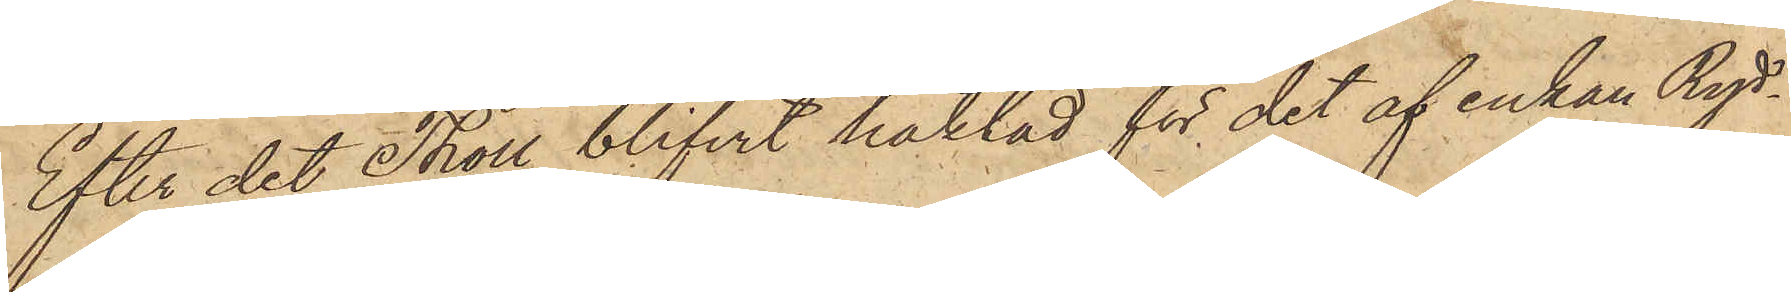Efter det Tholl blifvit häktad för det af enkan Ryd¬
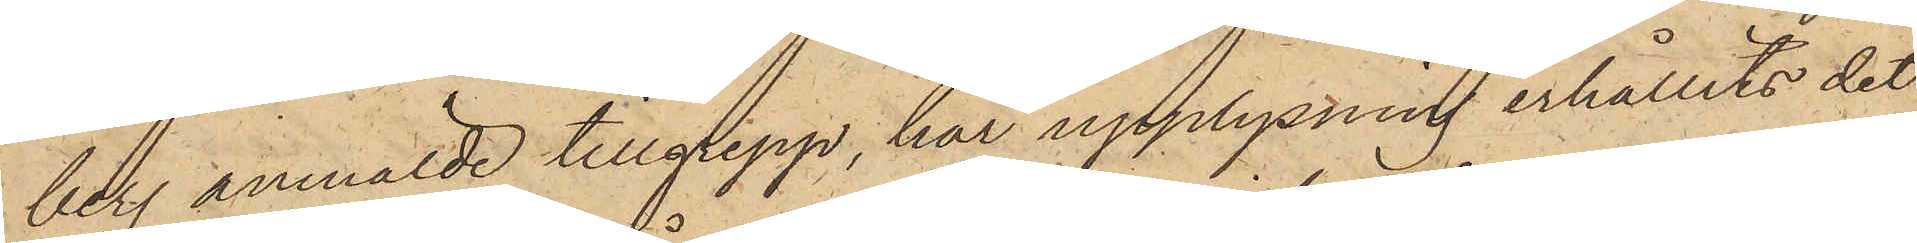berg anmälde tillgrepp, har upplysning erhållits det
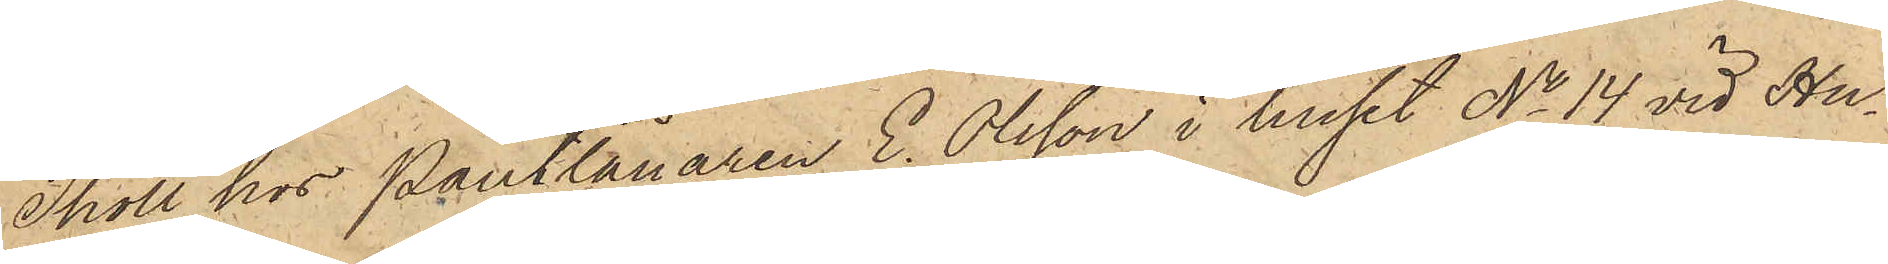Tholl hos Pantlånaren E. Olsson i huset No 14 vid Hu¬
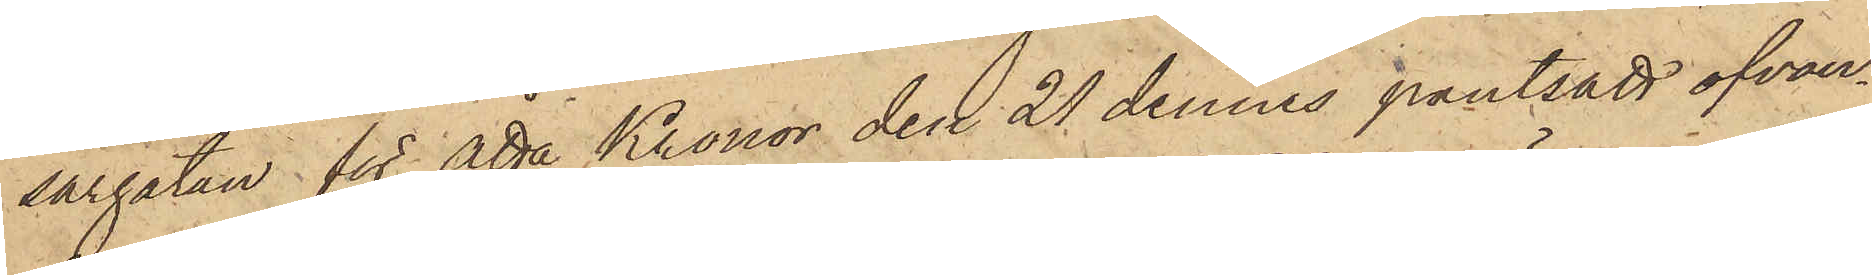sargatan för åtta Kronor den 21 dennes pantsatt ofvan¬
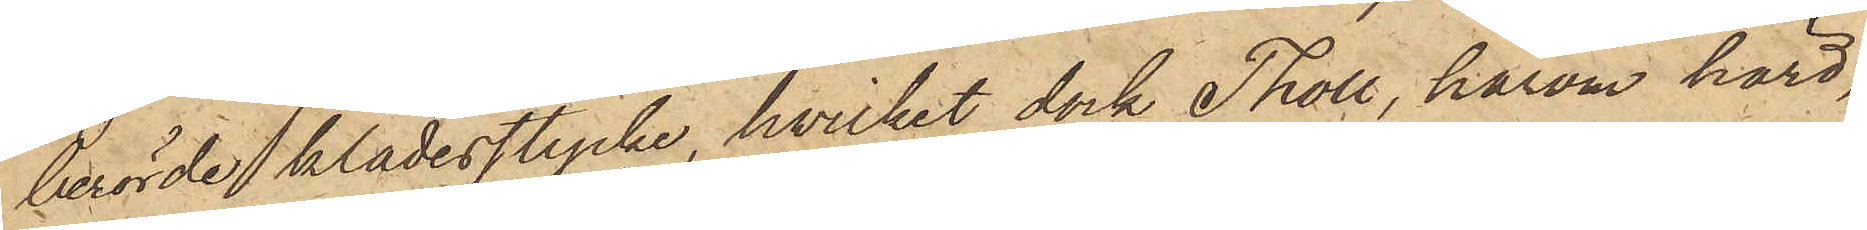berörde klädesstycke, hvilket dock Tholl, härom hörd,
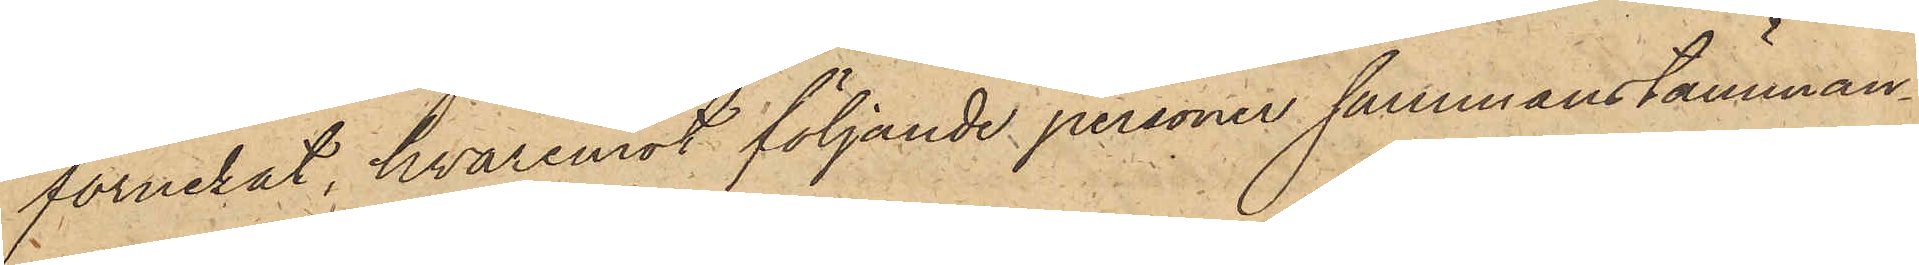förnekat, hvaremot följande personer sammanstämman¬
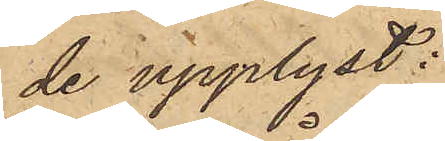de upplyst:
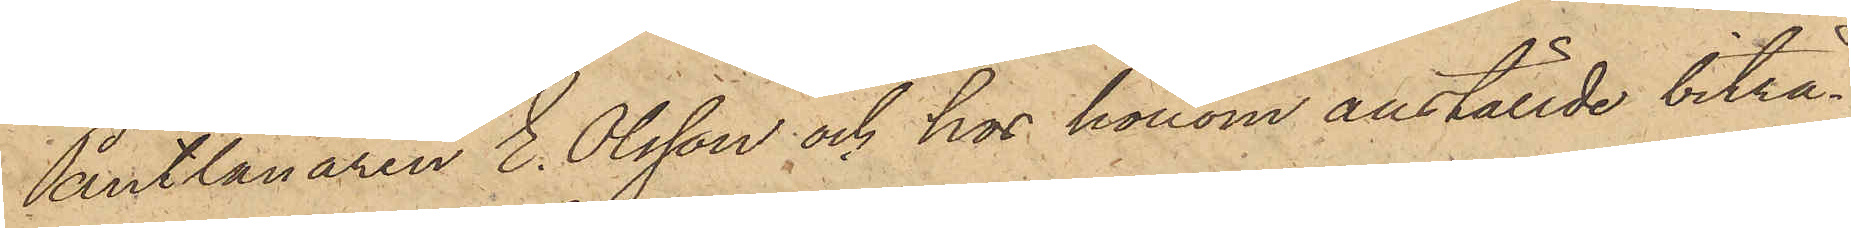Pantlånaren E. Olsson och hos honom anställde biträ¬
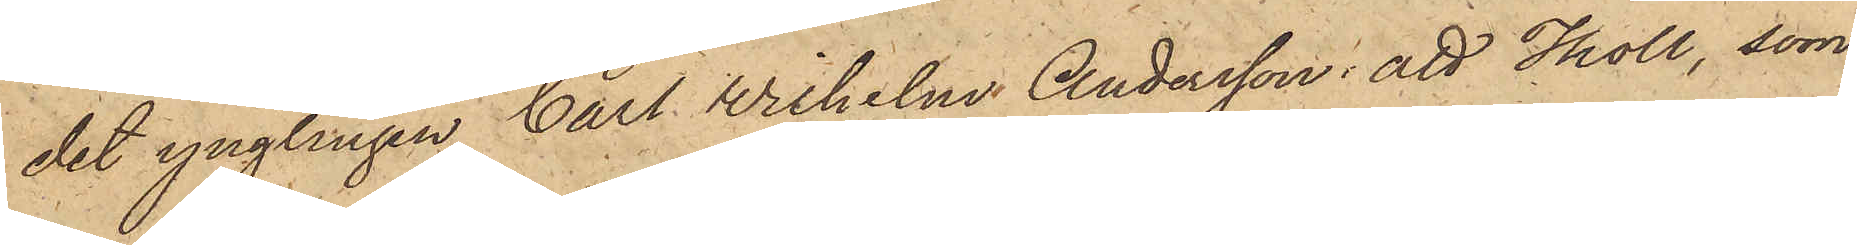det ynglingen Carl Wilhelm Andersson: att Tholl, som
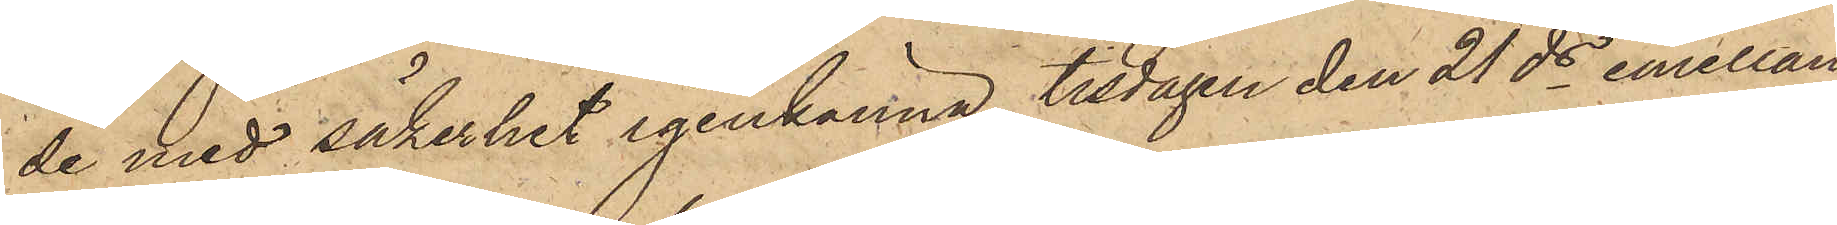de med säkerhet igenkänna, tisdagen den 21 ds emellan
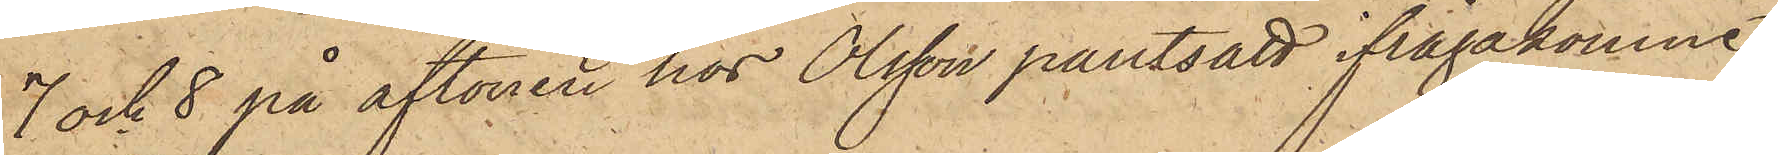7 och 8 på aftonen hos Olsson pantsatt ifrågakomne
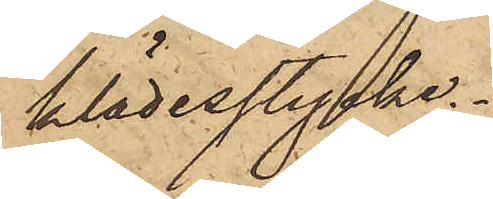klädesstycke.
